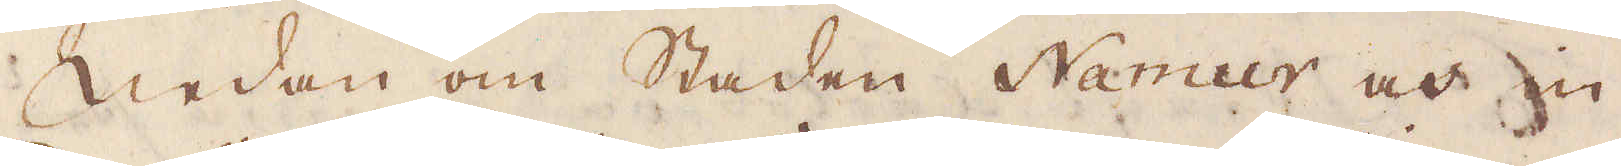Sedan om staden Namur och in
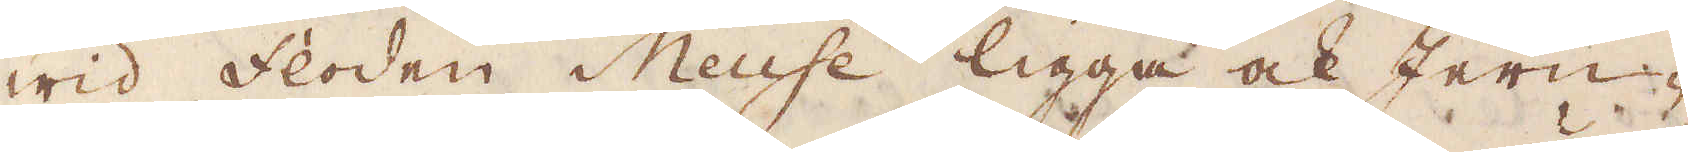wid floden Meuse ligga ock Jern-
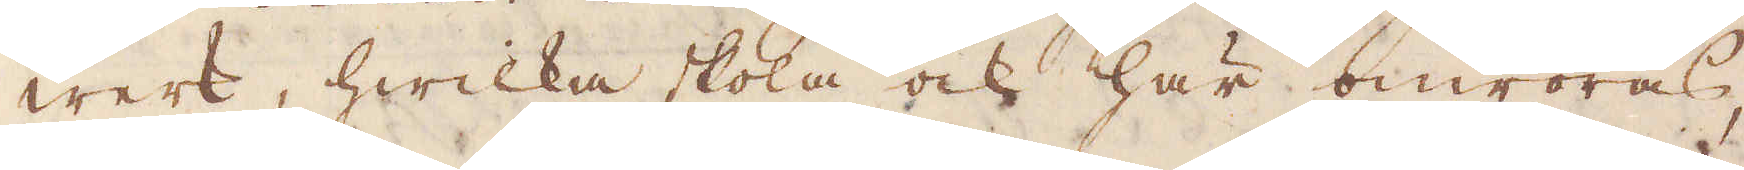werk, hwilcka skola ock här omröras,
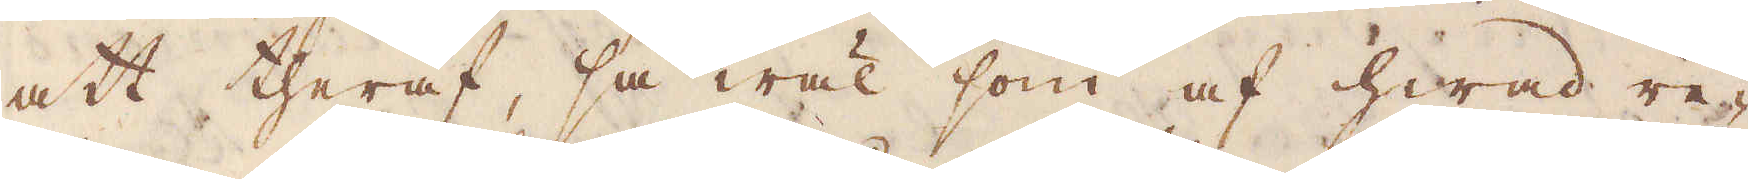att theraf, så wäl som af hwad re-
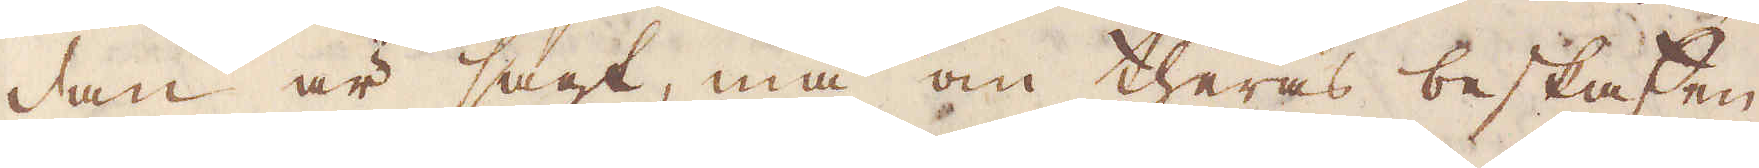dan är sagt, må om theras beskaffen-
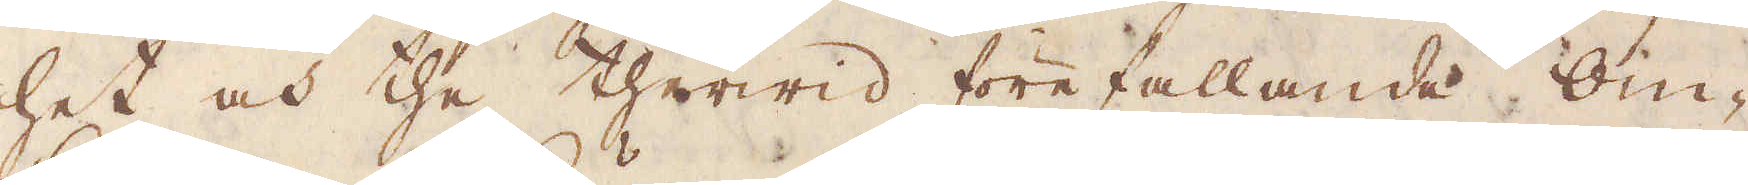het och the therwid förefallande Om-
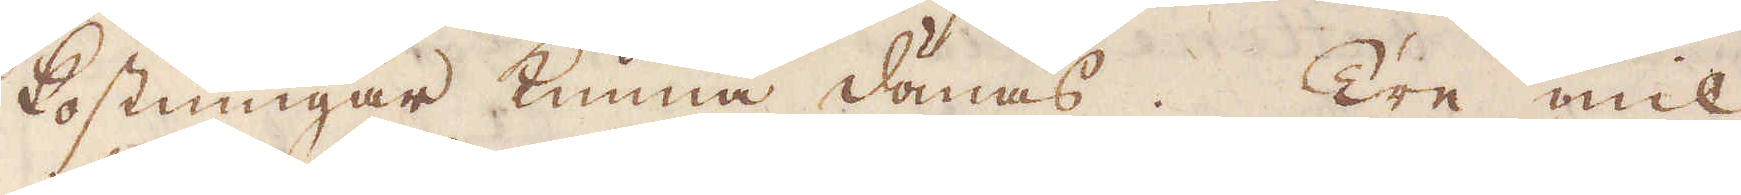kostningar kunna dömas. Tre mil
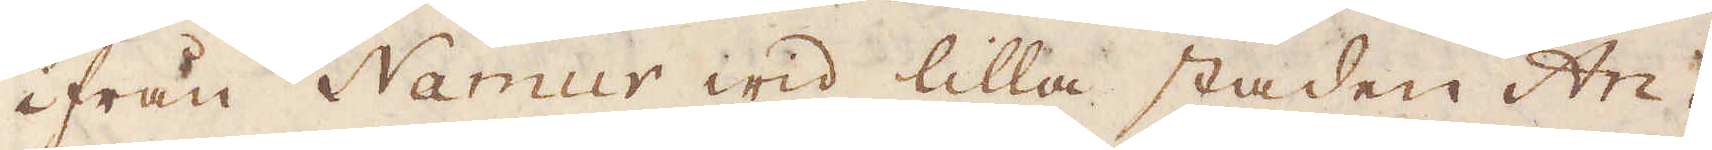ifrån Namur wid lilla staden Ari-
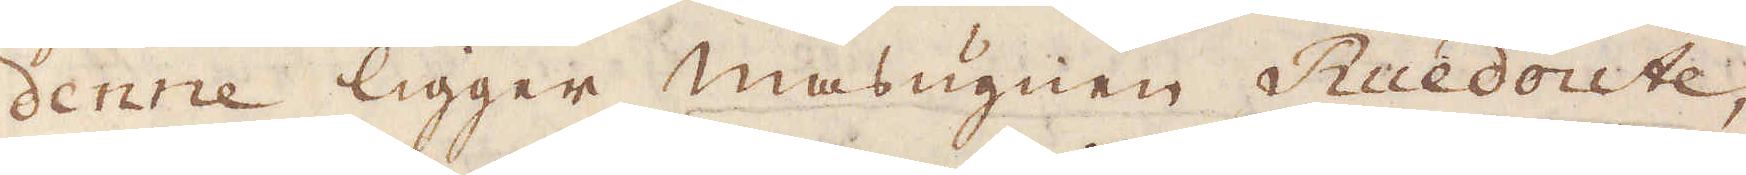denne ligger masugnen Ruedoute,
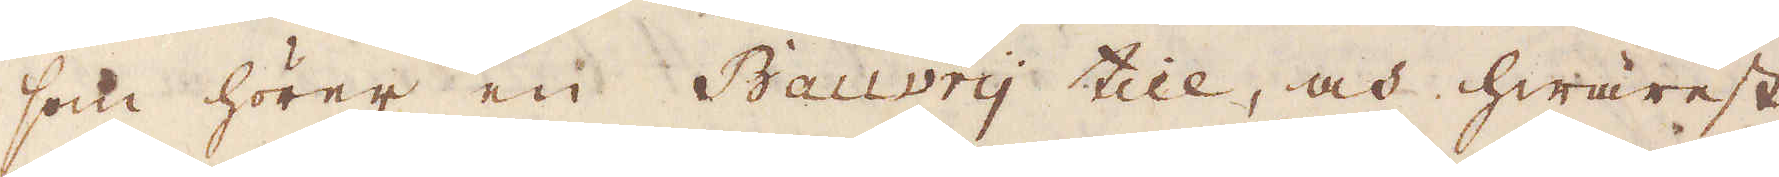som hörer en Bauvry till, och hwarest
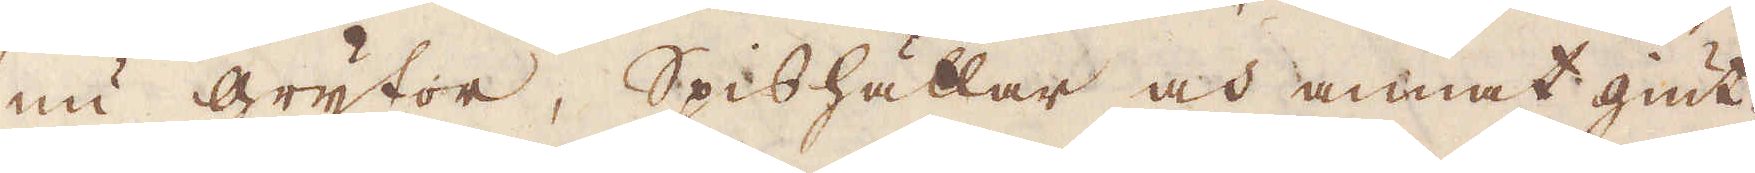nu grytor, Spishällar och annat giut-
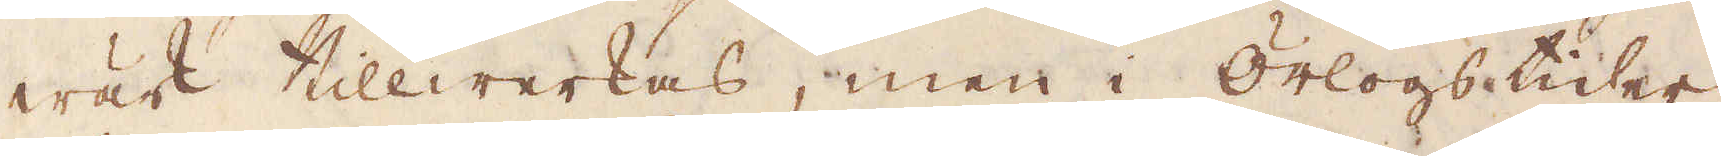wärk tillwerkas, men i Örlogstider
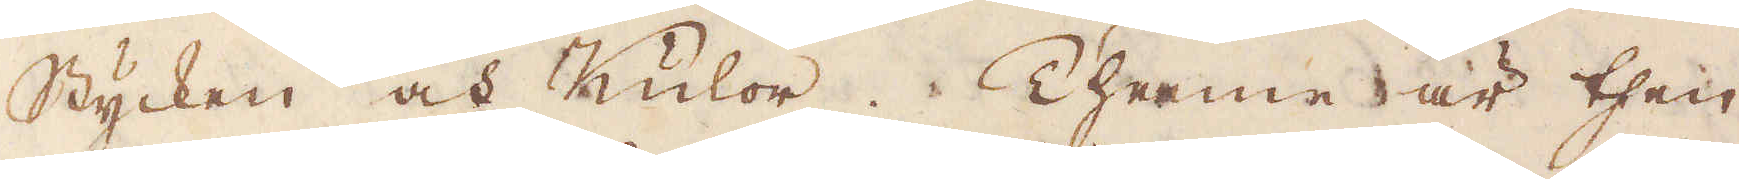Stycken och Kulor. Thenne är then
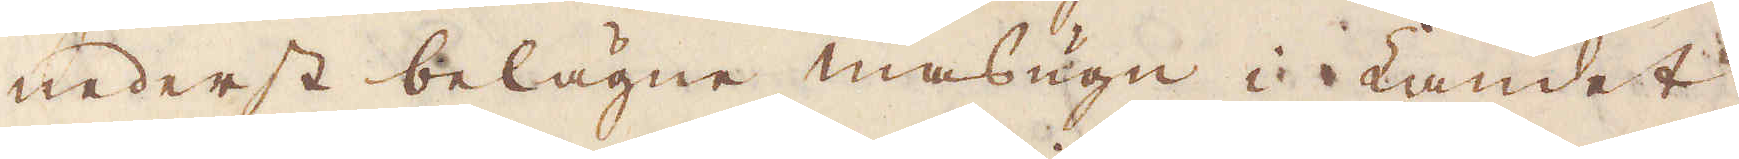nederst belägne masugn i Landet
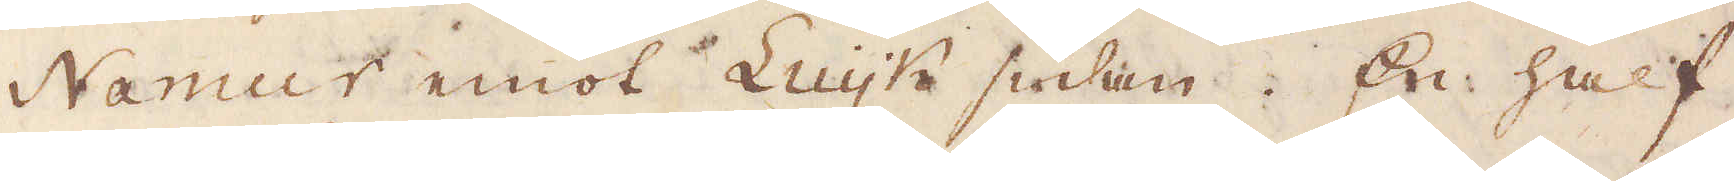Namur  emot  Luijk sidan. En half
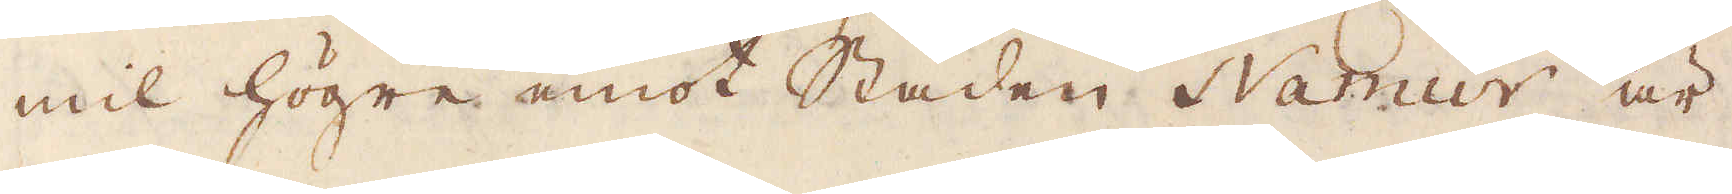mil högre emot Staden Namur är
